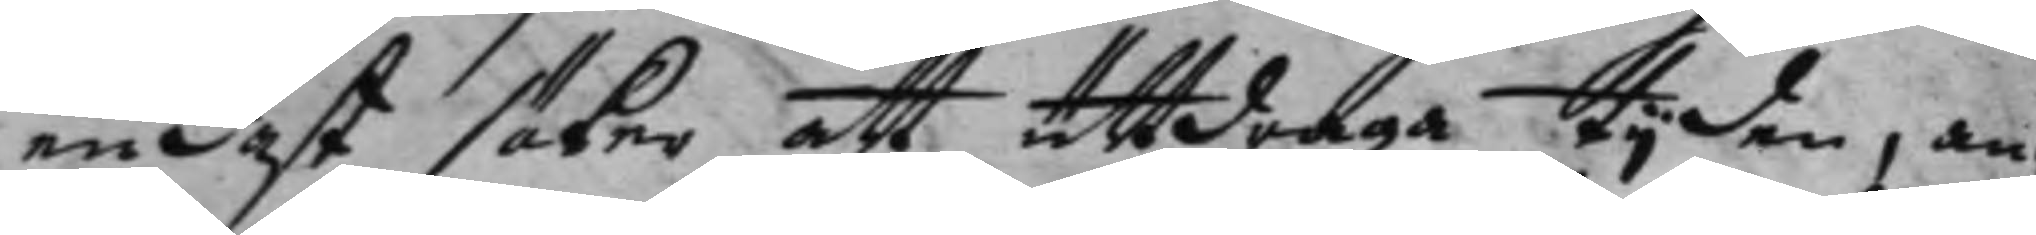endast söker att uttdraga tijden, an¬
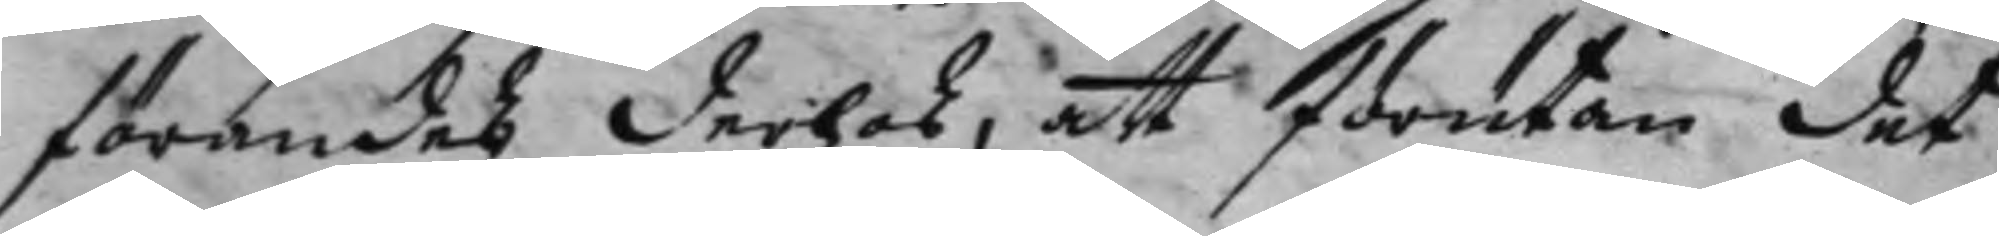förandes derhos, att förutan det
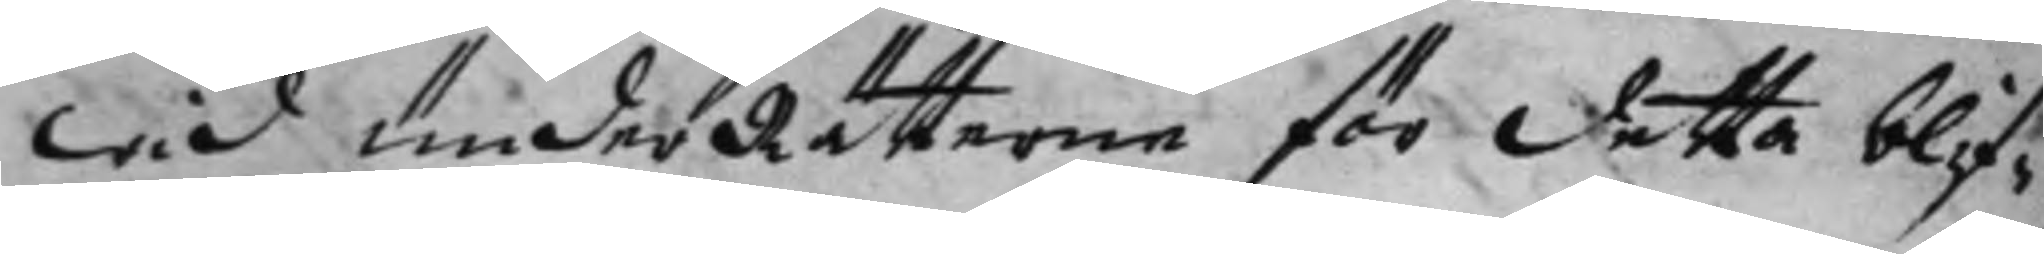wid underRätterne för detta blif¬
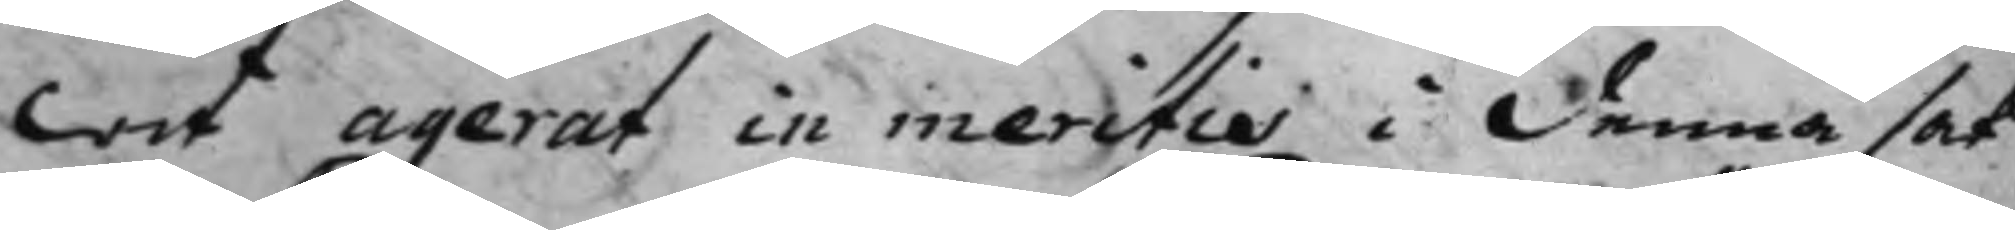lat agerat in meritiæ i denna sak,
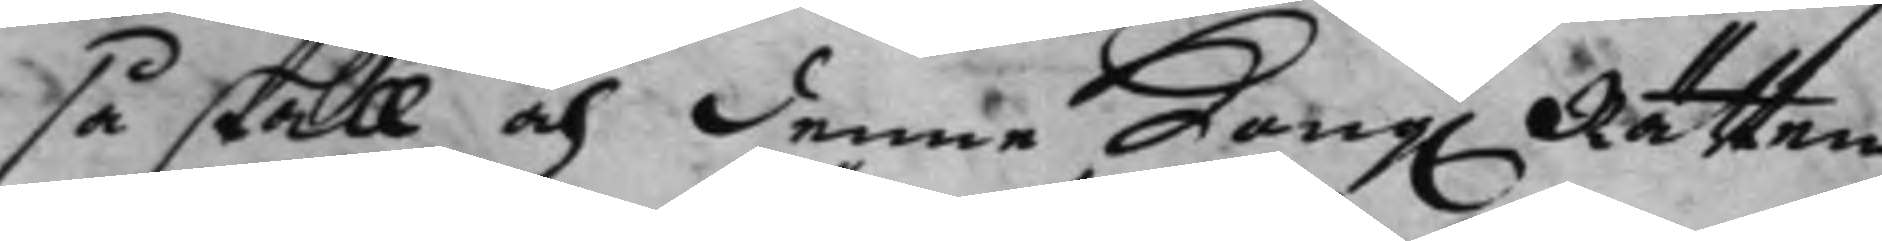så skall och denne Kong. Rätten 
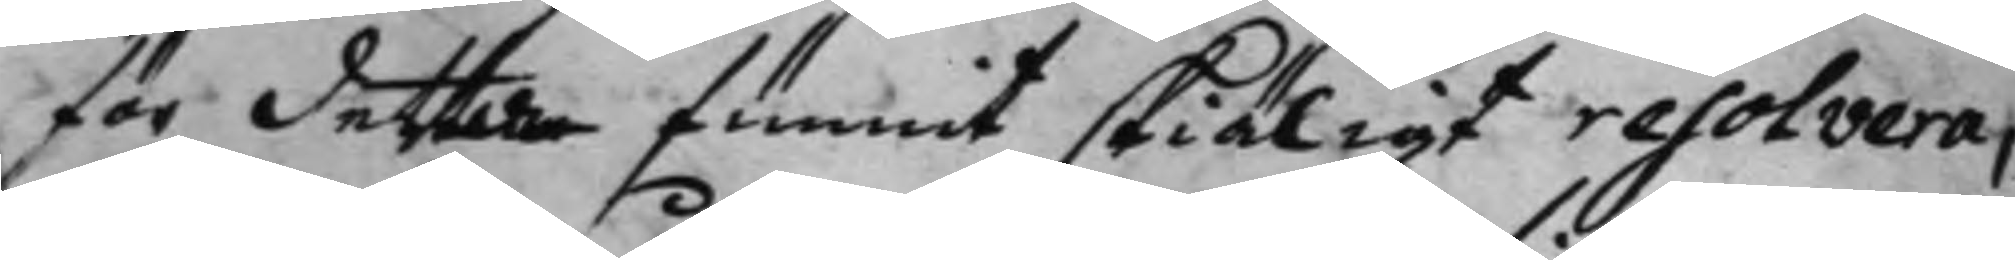för dette funnit skiäligt resolvera,
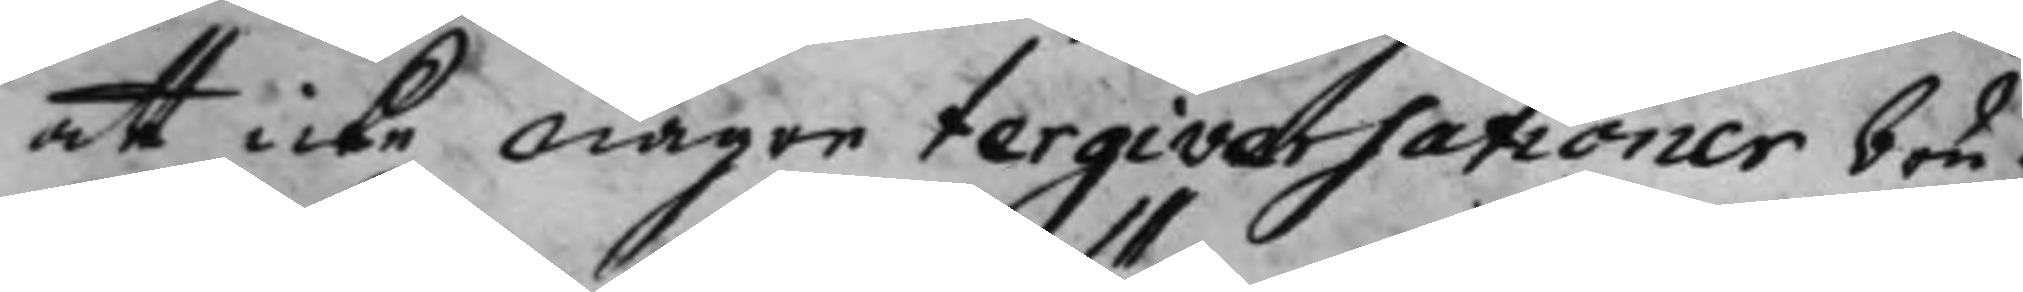att icke någre tergiversationer bru¬
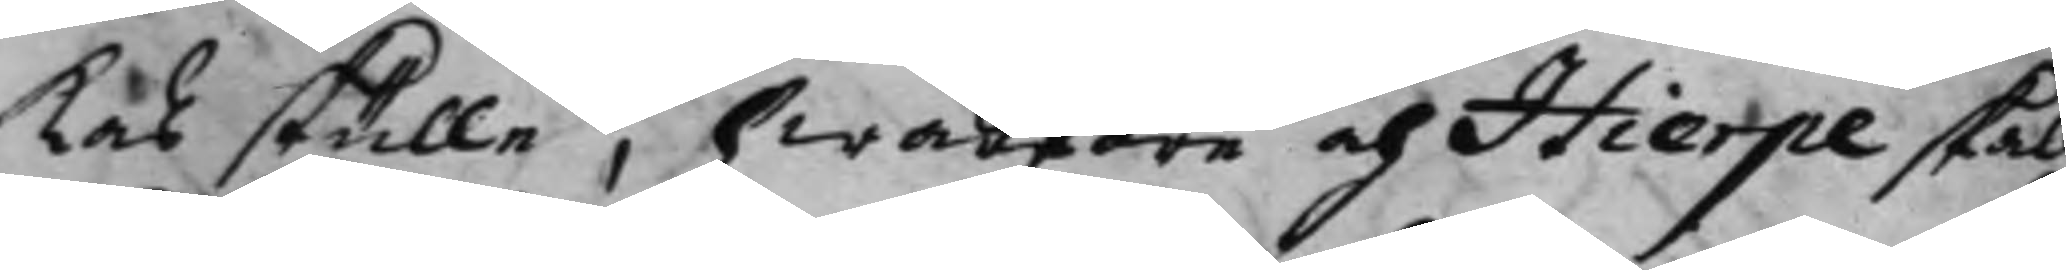kas skulle, hwarföre och Hierpe skall
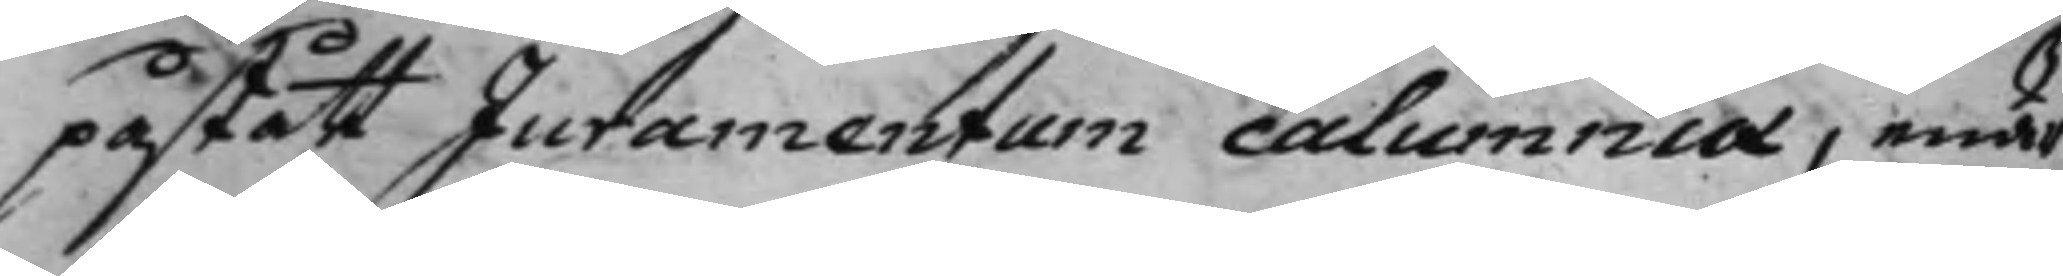påstått Juramentum calumniæ, enär
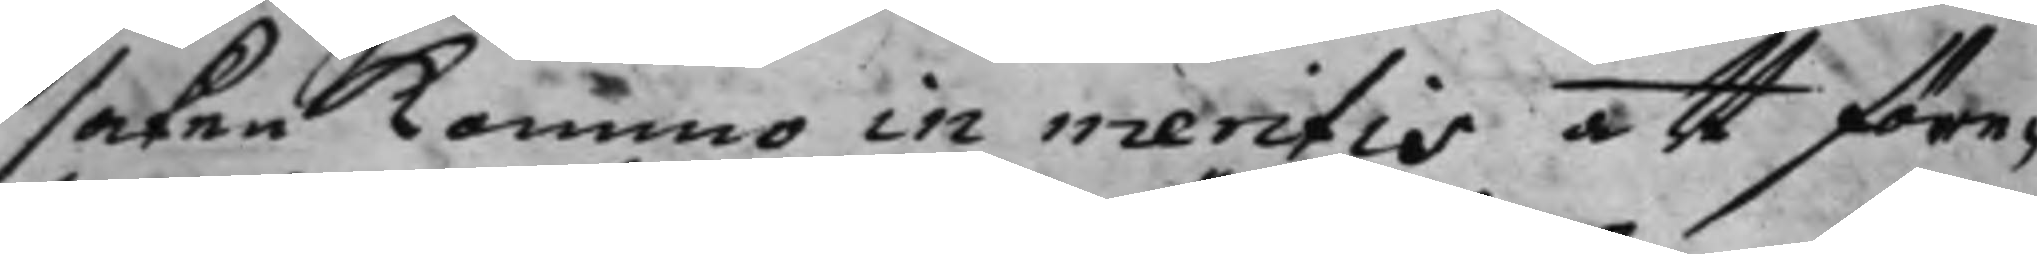saken kommo in meritis att före¬
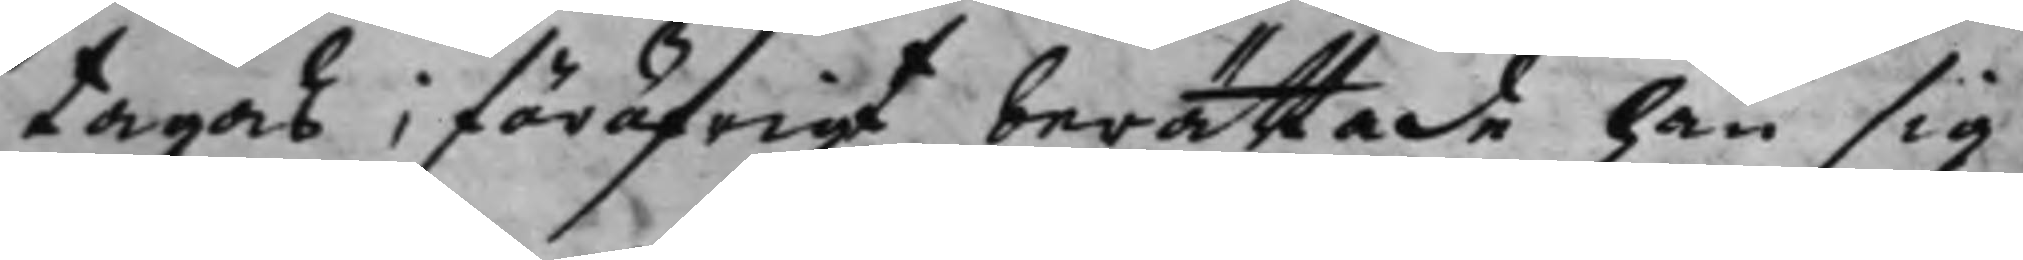tagas, för öfrigt berättade han sig
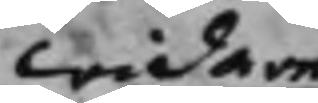widare
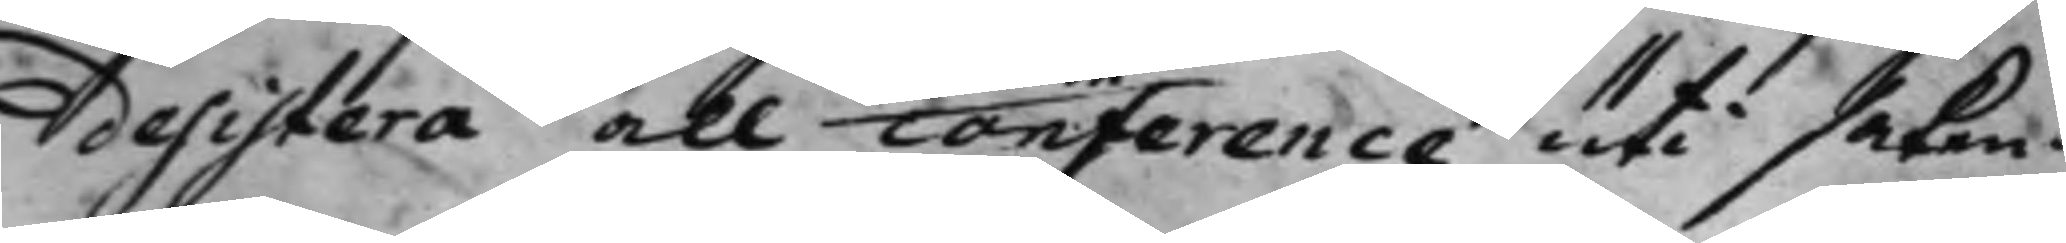desistera all conference uti saken.
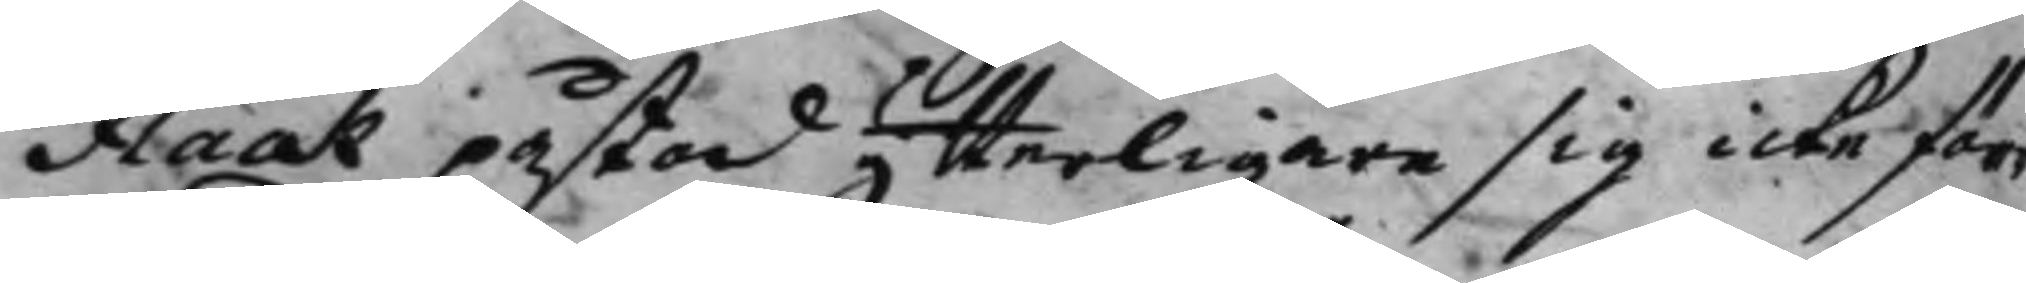Flack påstod ytterligare sig icke förr
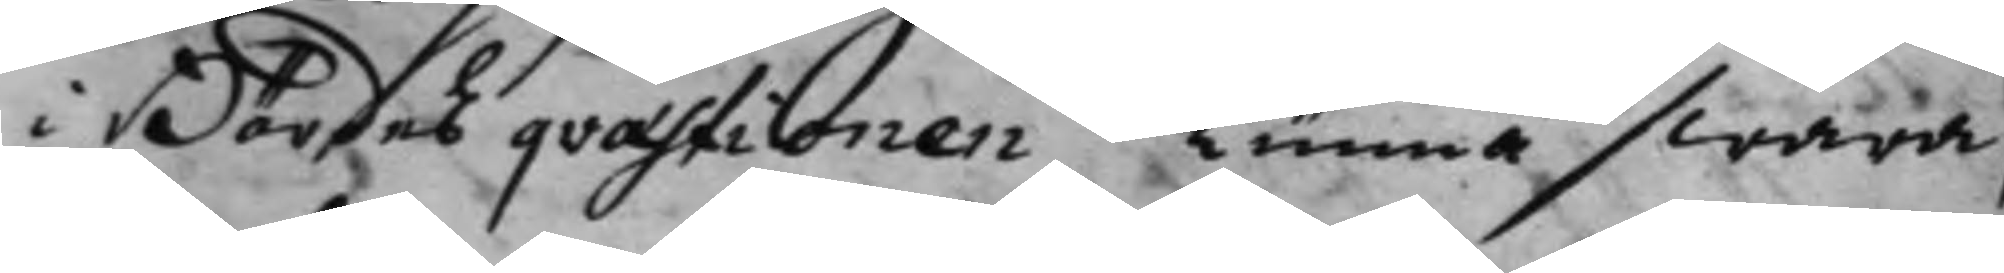i Bördes qvæstionen kunna swara,
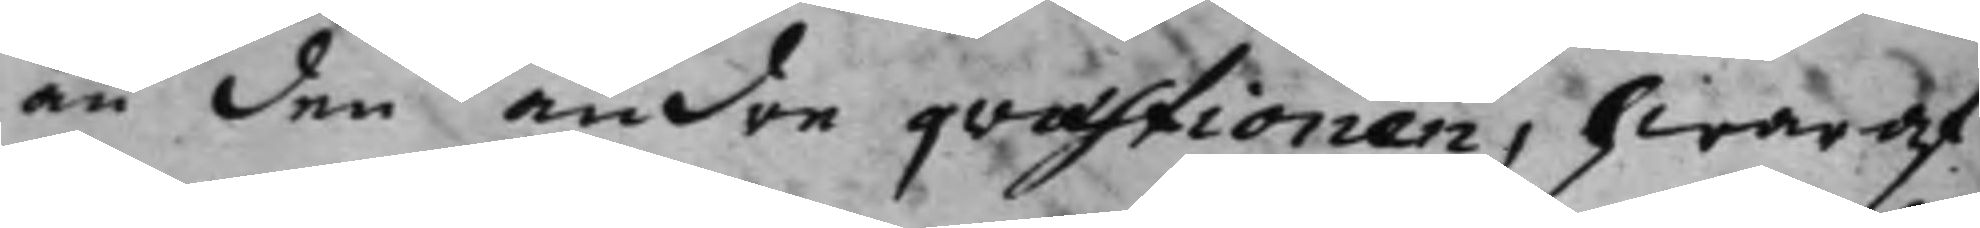än den andre qvæstionen, hwaraf
